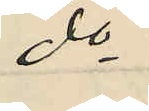do
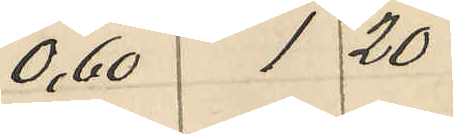0,60 1 20
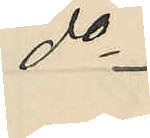do
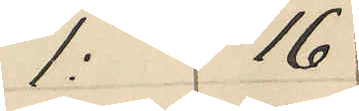1: 16
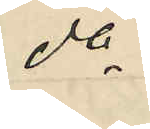do
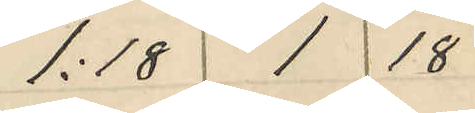1:18 1 18
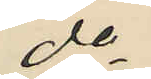do
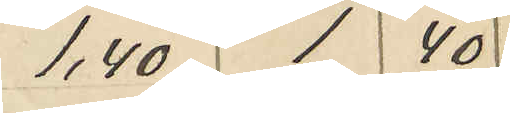1,40 1 40
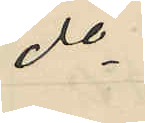do
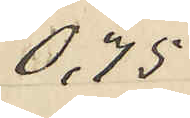0,75
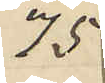75
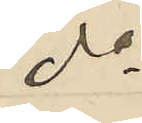do
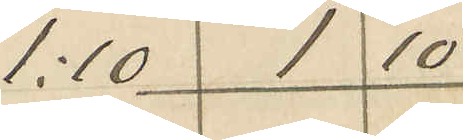1:10 1 10
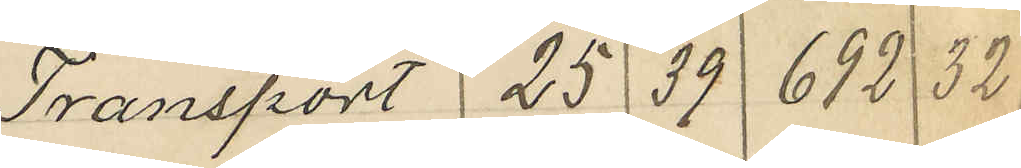Transport 25 39 692 32
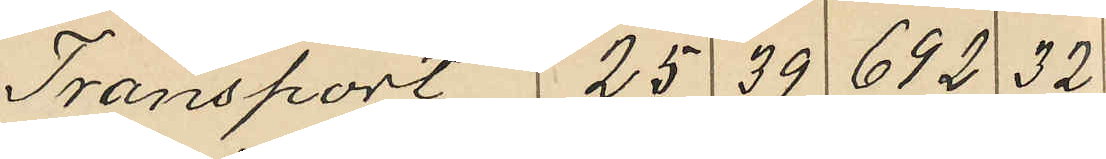Transport 25 39 692 32
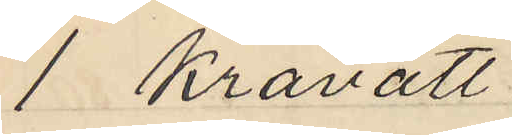1 kravatt
